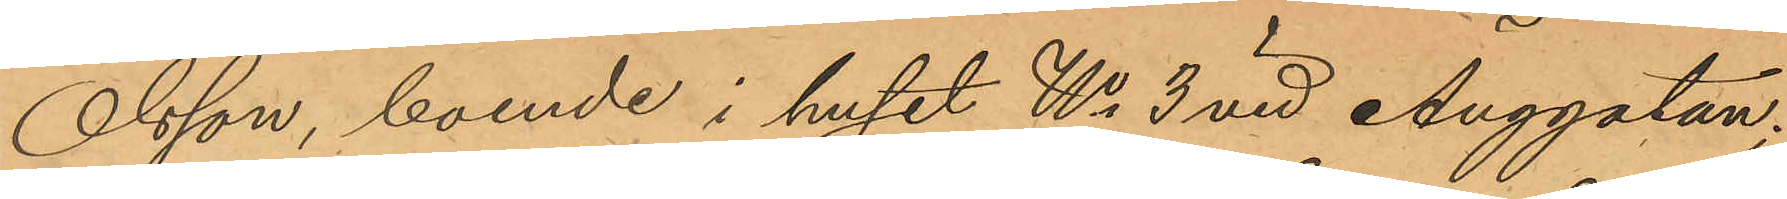Olsson, boende i huset No 3 vid Änggatan,
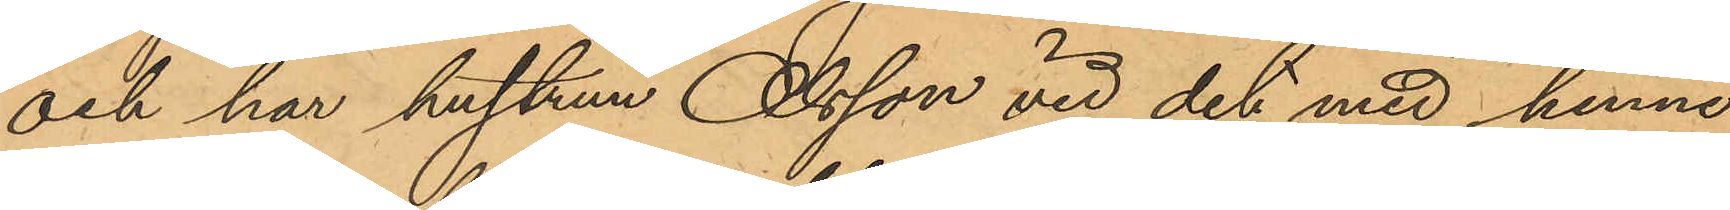och har hustrun Olsson vid det med henne
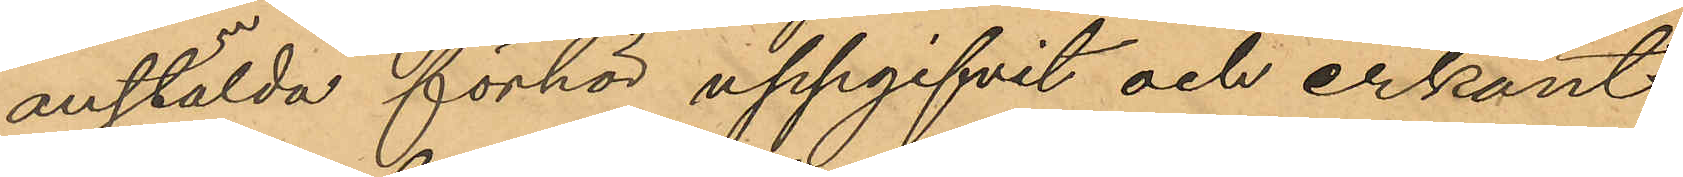anstälda förhör uppgifvit och erkänt,
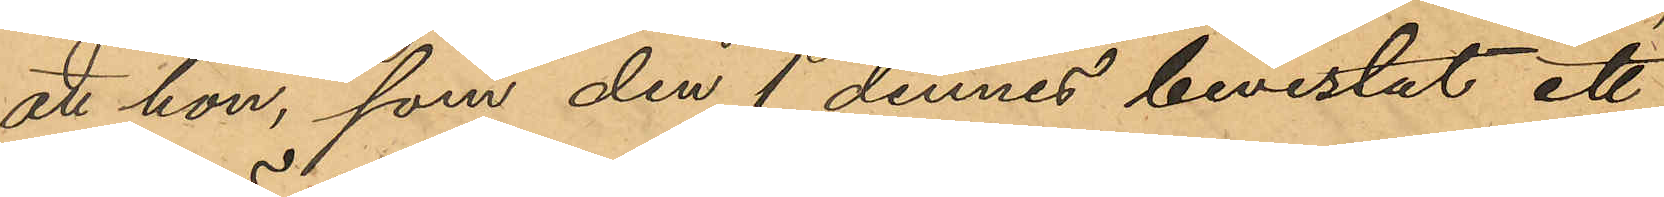att hon, som den 1 dennes bevistat ett
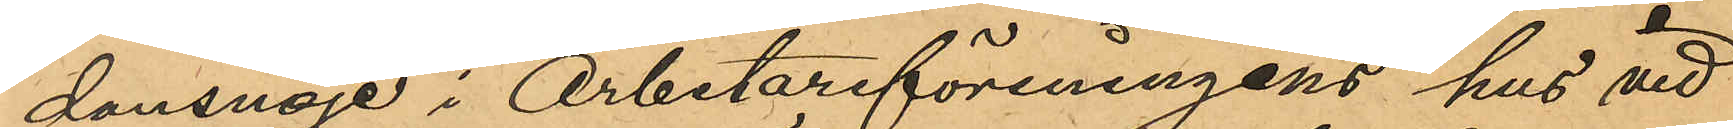dansnöje i Arbetareföreningens hus vid
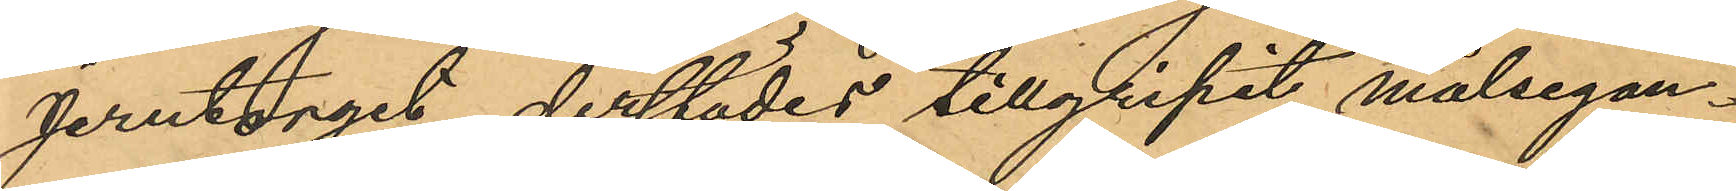Jerntorget, derstädes tillgripit målsegan¬
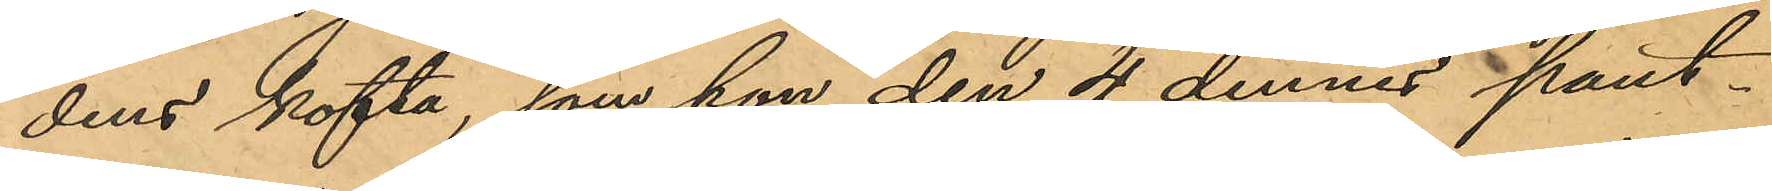dens kofta, som hon den 4 dennes pant¬
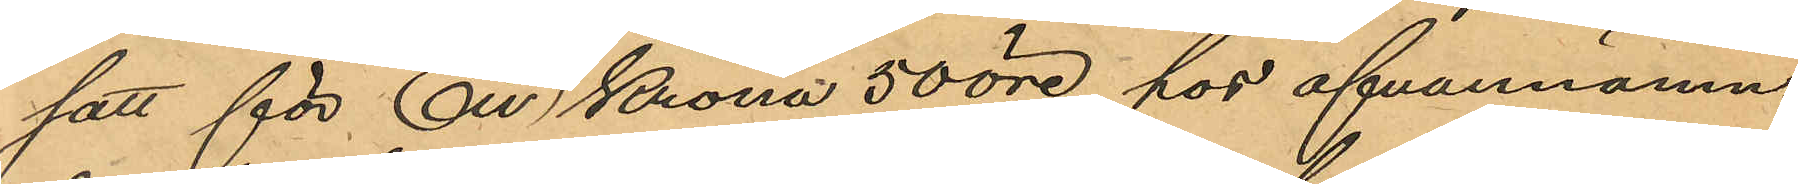satt för En Krona 50 öre hos ofvannämn¬
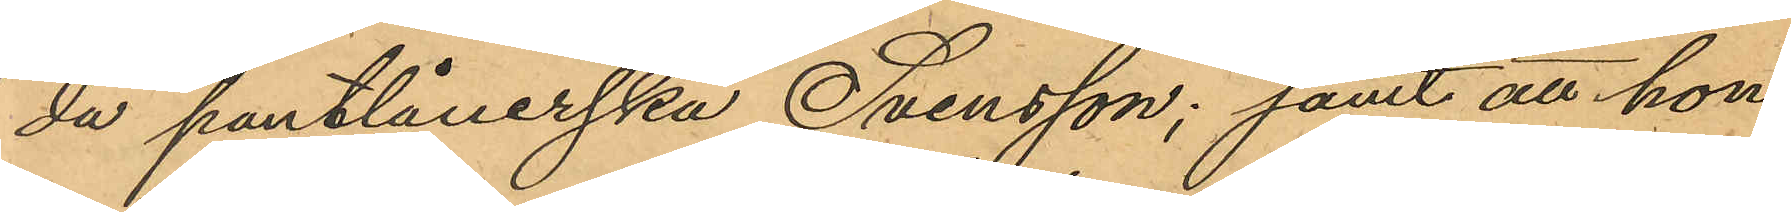da pantlånerska Svensson; samt att hon
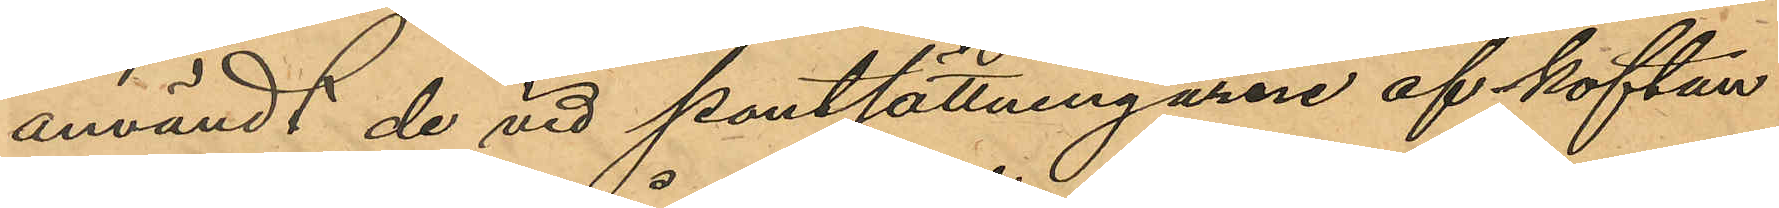användt de vid pantsättningarne af koftan
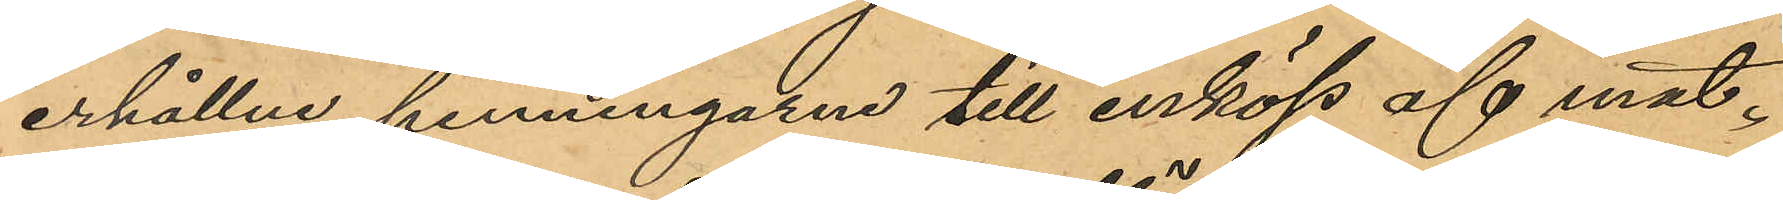erhållne penningarne till inköp af mat.
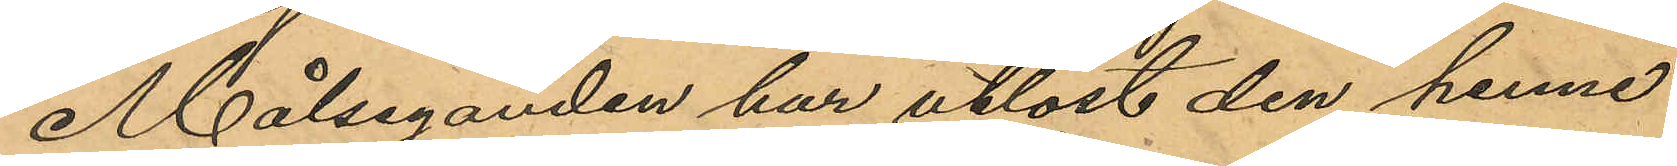Målseganden har utlöst den henne
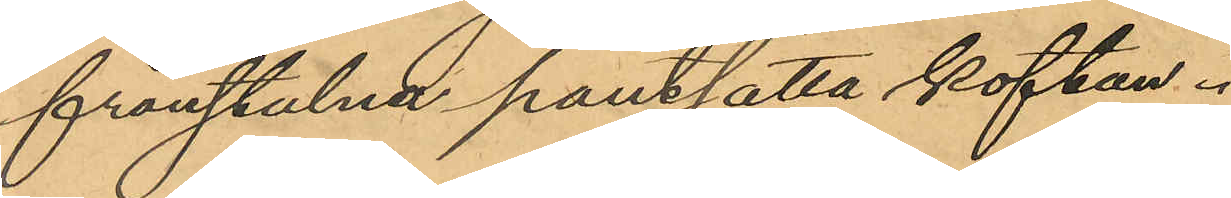frånstulna pantsatta koftan.
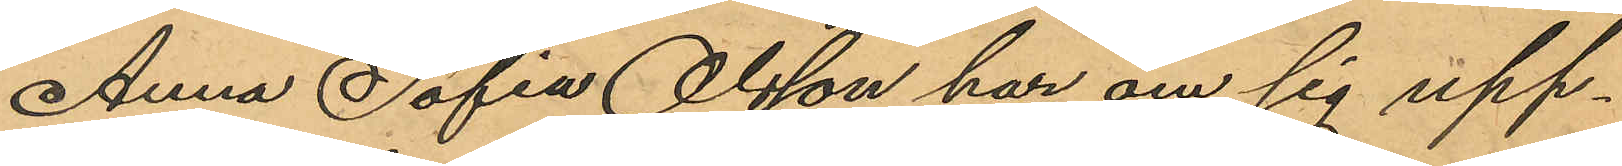Anna Sofia Olsson har om sig upp¬
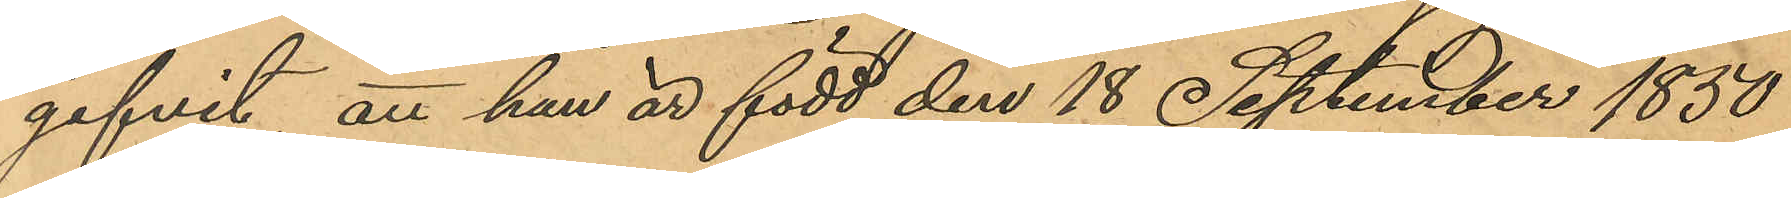gifvit, att han är född den 18 September 1850
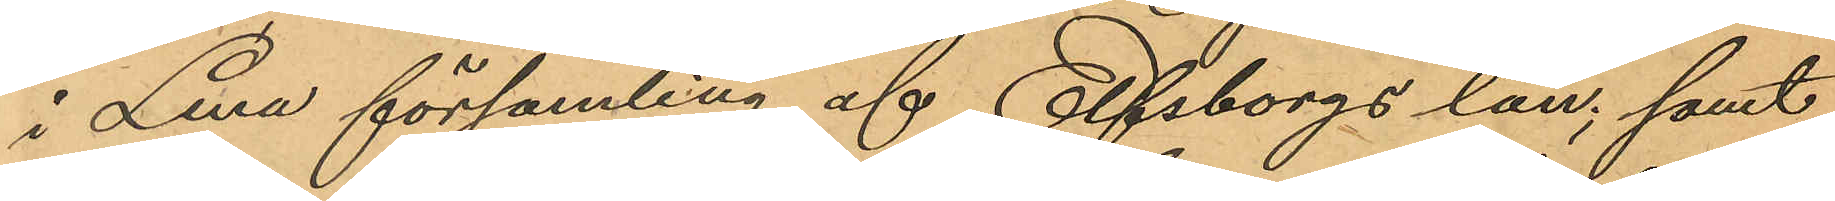i Lena församling af Elfsborgs län; samt
